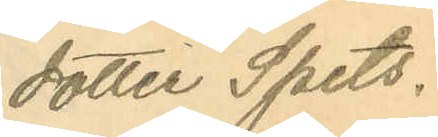dotter Spets.
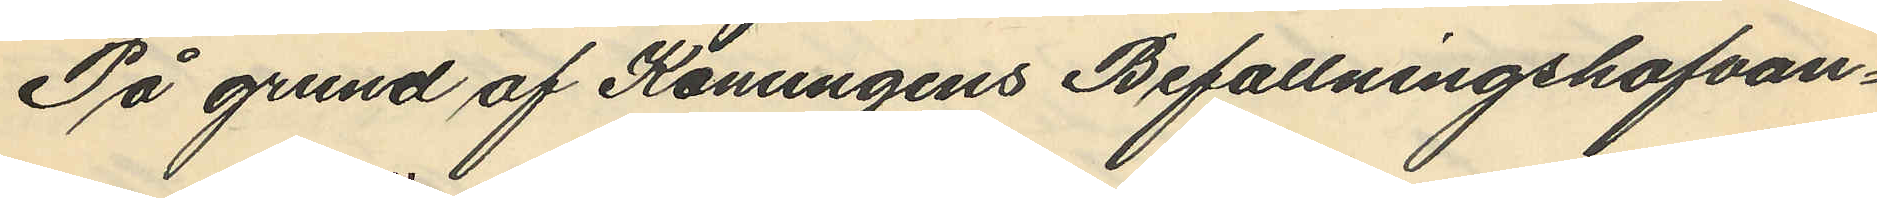På grund af Konungens Befallningshafvan¬
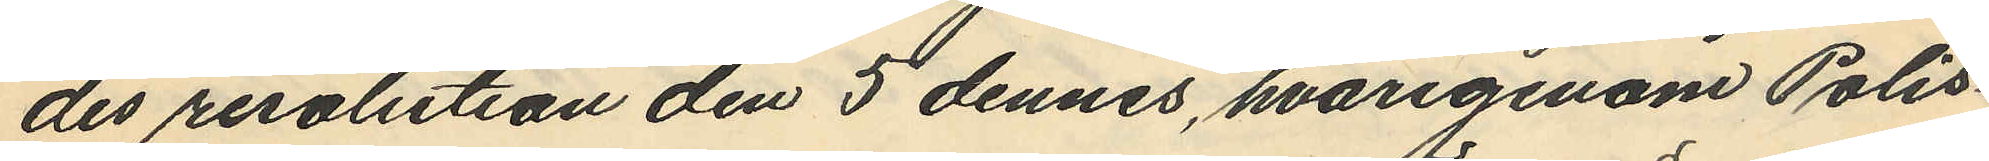des resolution den 5 dennes, hvarigenom Polis¬
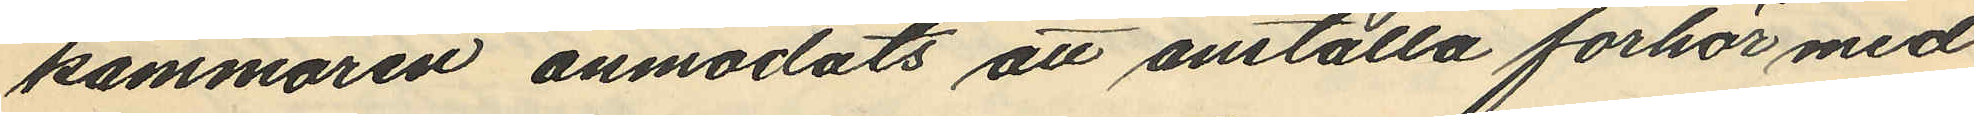kammaren anmodats att anställa förhör med
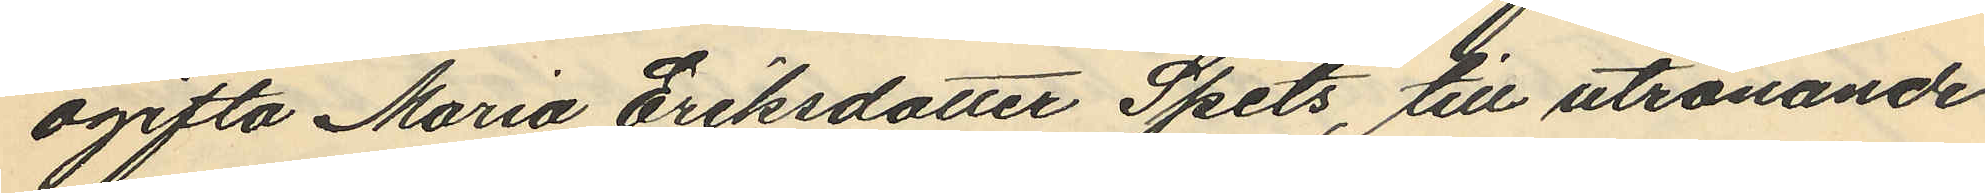ogifta Maria Eriksdotter Spets, till utrönande
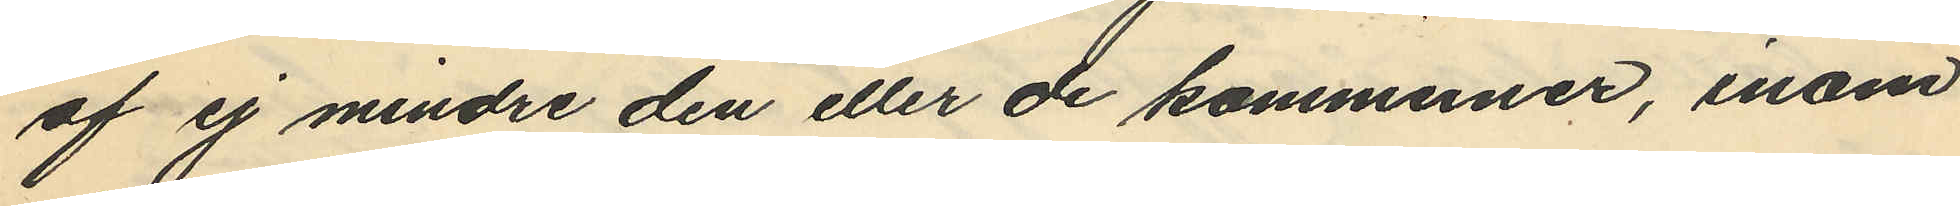af ej mindre den eller de kommuner, inom
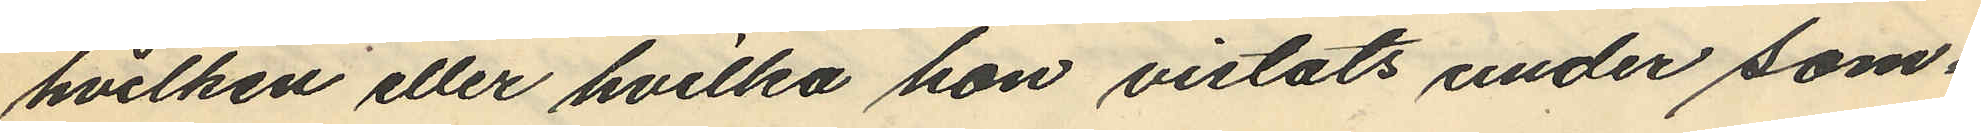hvilken eller hvilka hon vistats under sam¬
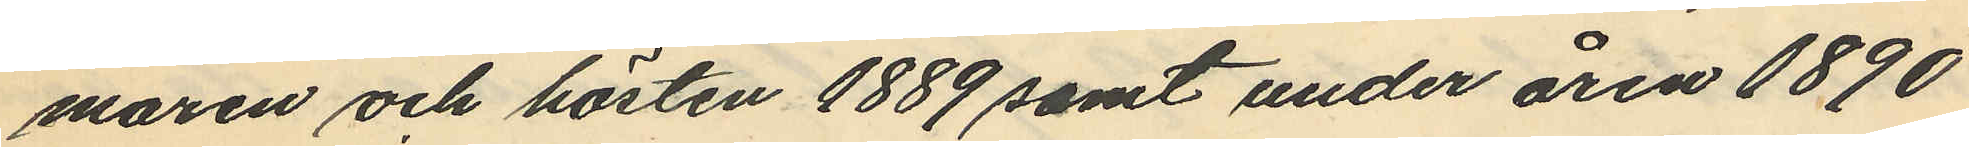maren och hösten 1889 samt under åren 1890
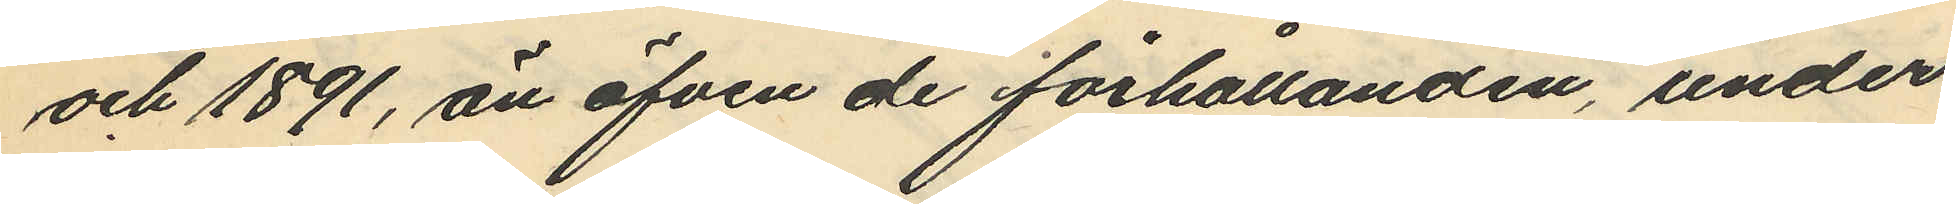och 1891, än äfven de förhållanden, under
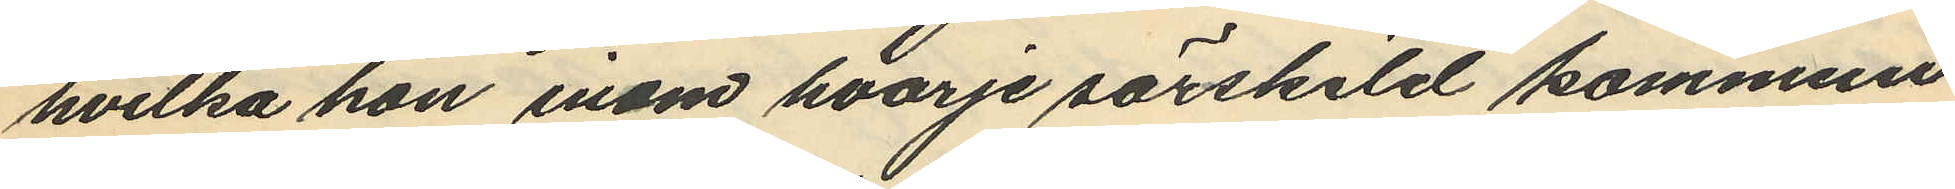hvilka hon inom hvarje särskild kommun
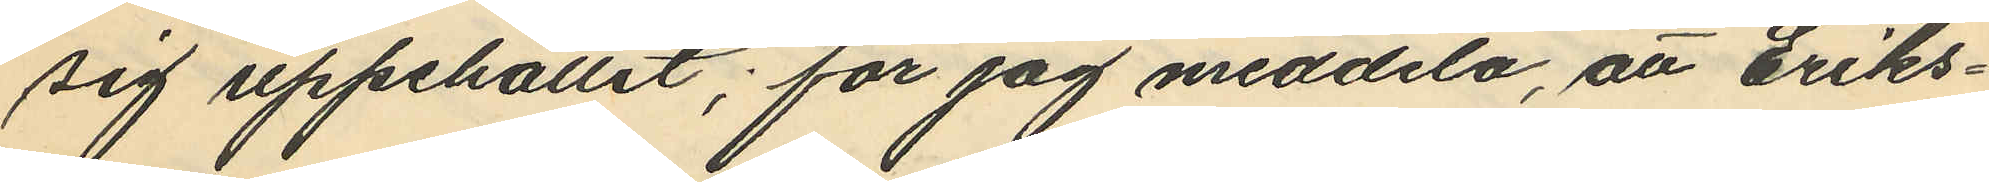sig uppehållit; får jag meddela, att Eriks¬
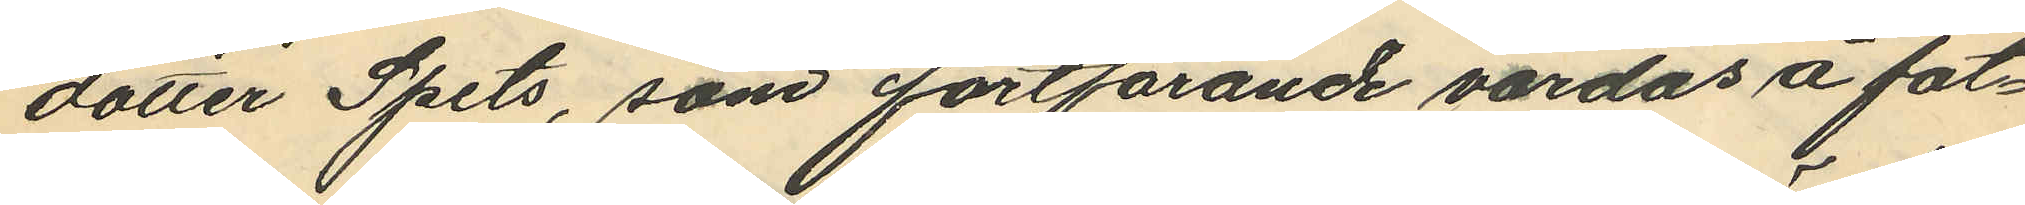dotter Spets, som fortfarande vårdas å fat¬
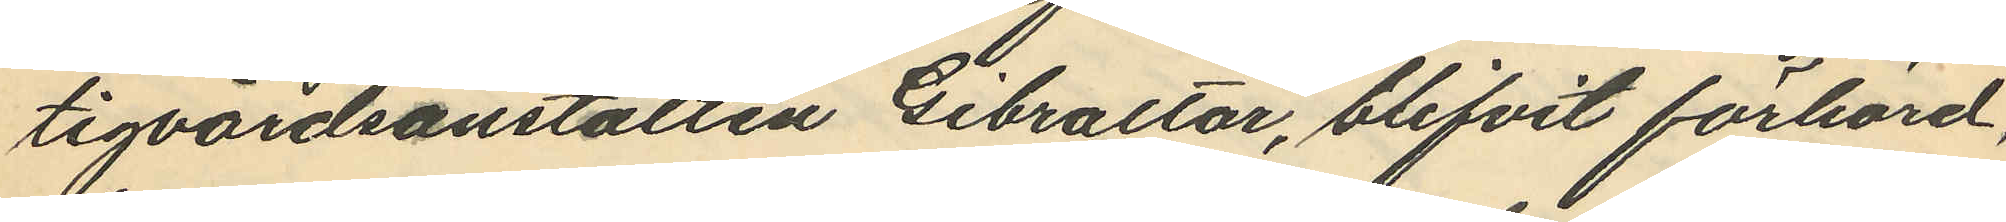tigvårdsanstalten Gibraltar, blifvit förhörd,
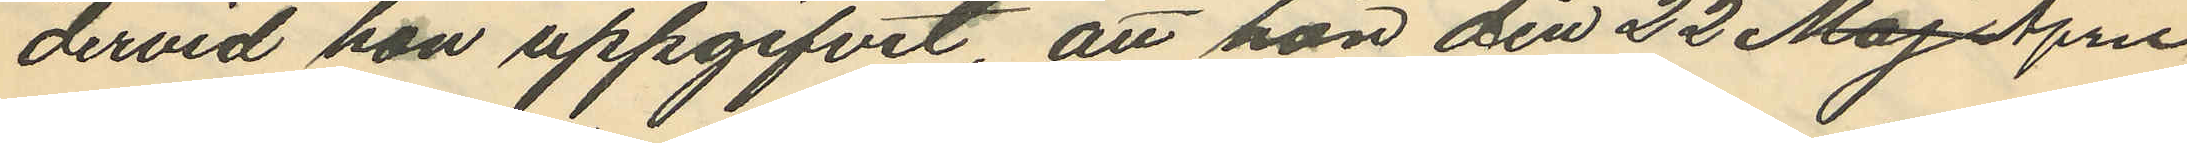dervid han uppgifvit, att hon den 22 Maj April
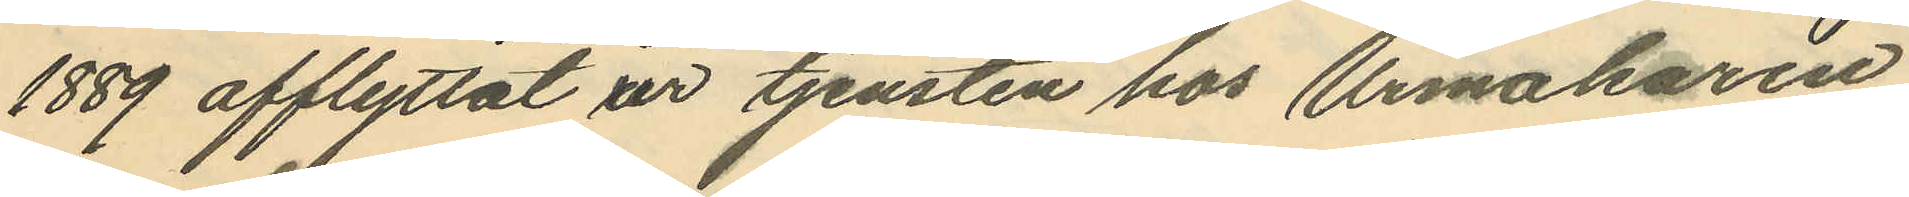1889 afflyttat ur tjensten hos Urmakaren
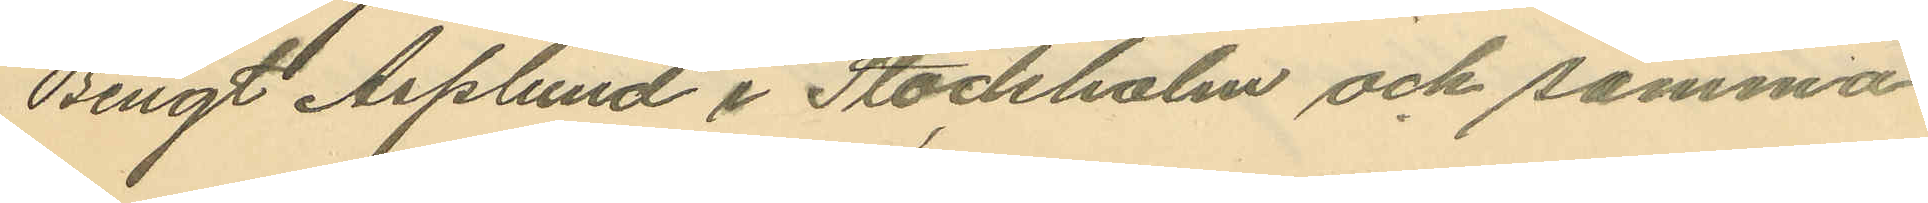Bengt Asplund i Stockholm och samma
